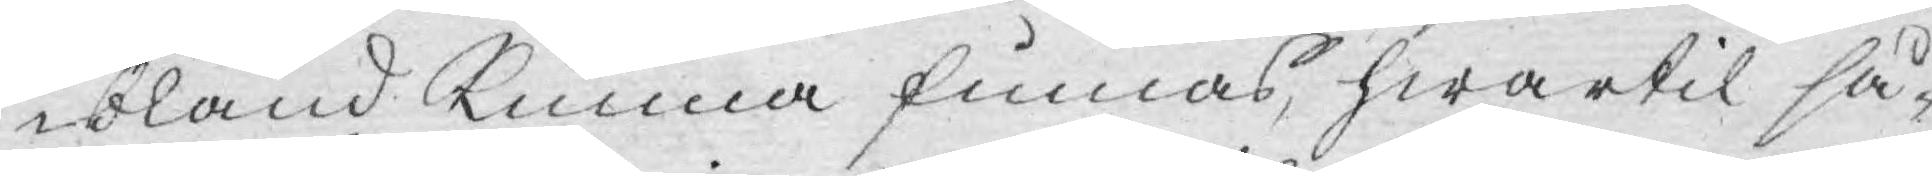ibland Kunna finnas, hwartil så¬
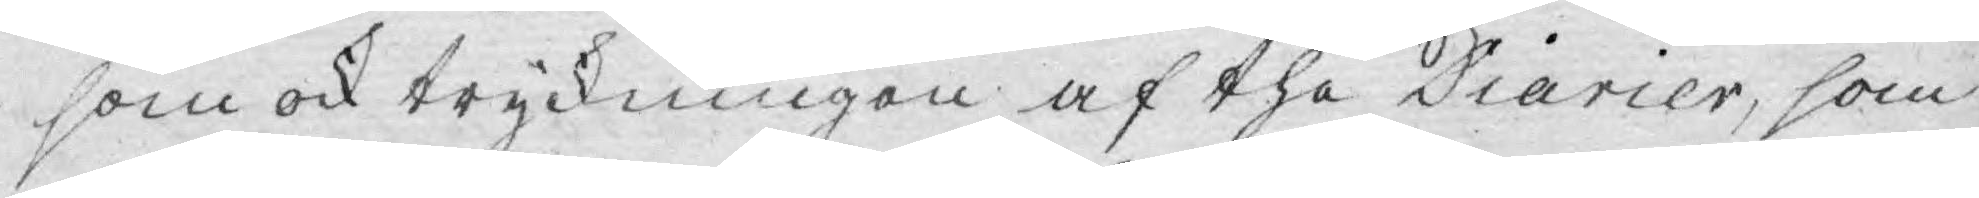som ock tryckningen af the Diarier, som
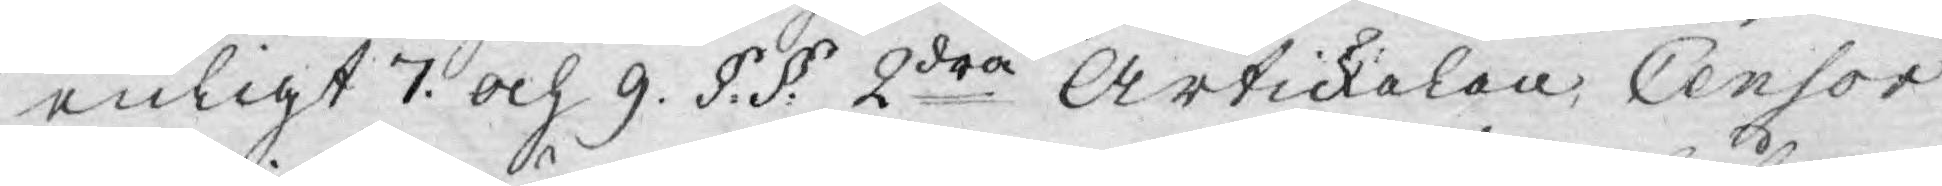enligt 7. och 9. §. §. 2dra Artickelen, Censor
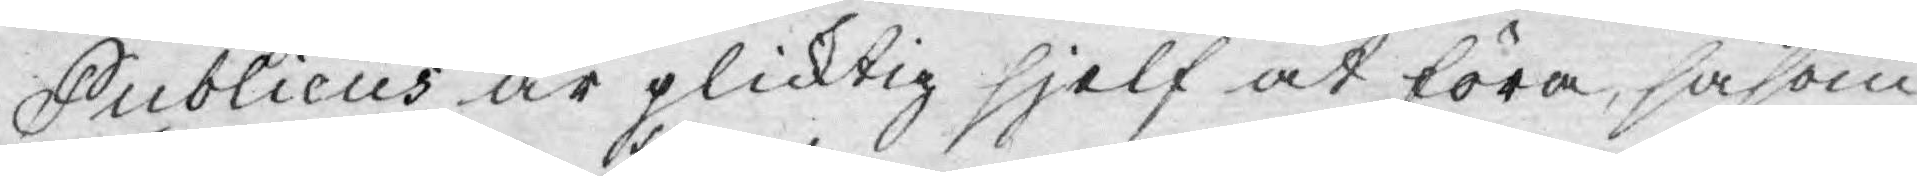Publicus är plicktig sjelf at föra, såsom
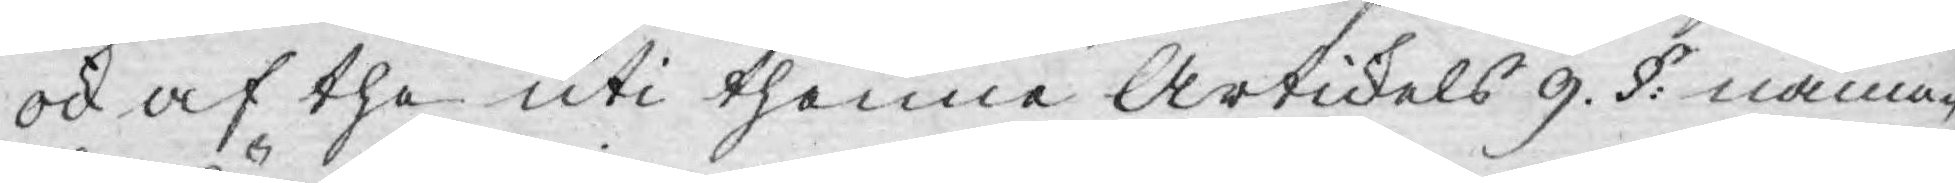ock af the uti thenne Artickels 9. §. nämn¬
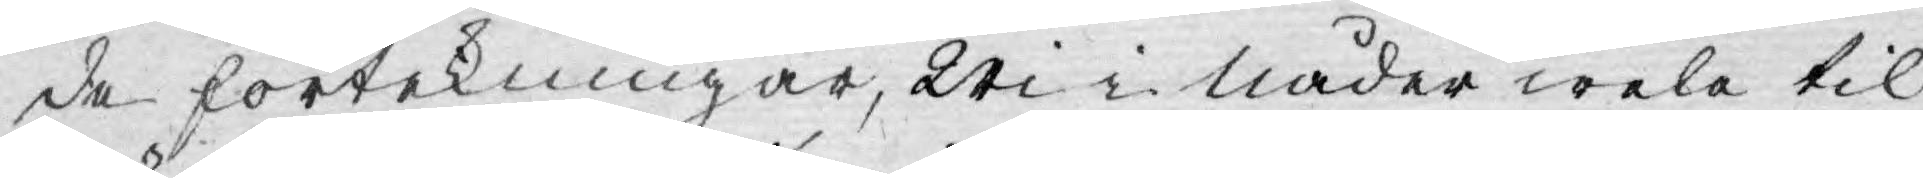de förtekningar, Wi i Nåder wela til
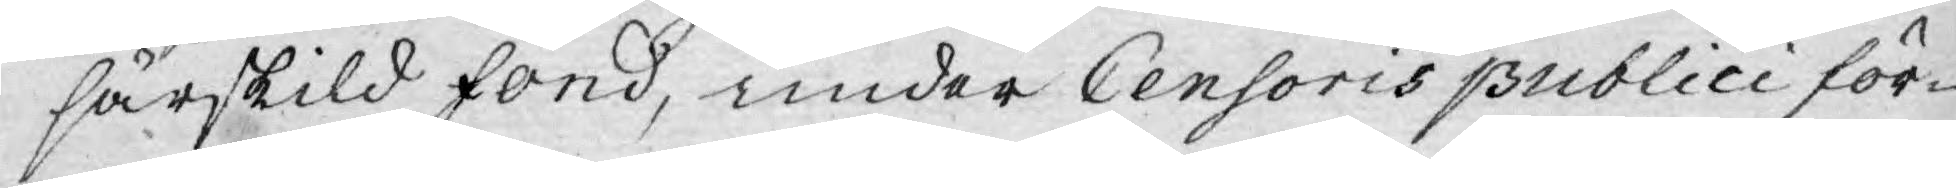särskild fond, under Censoris publici för¬
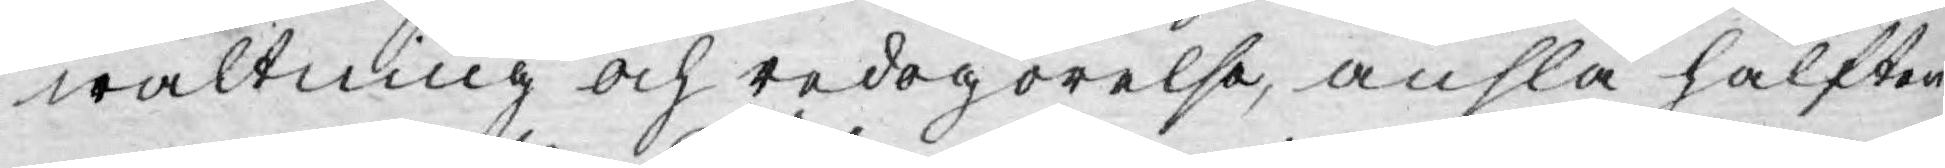waltning och redogörelse, anslå hälften
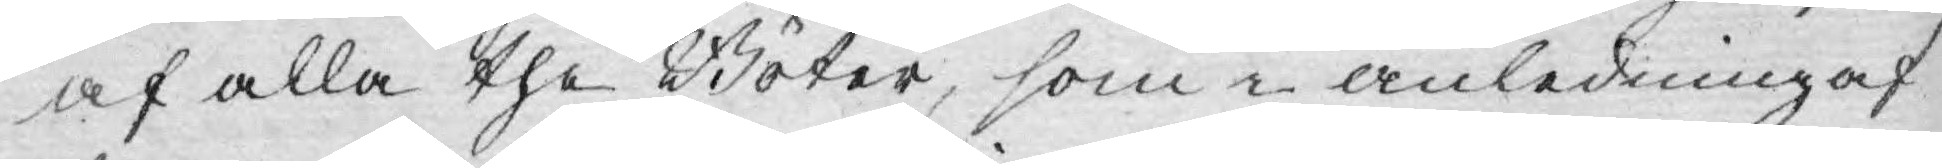af alla the Böter, som i anledning af
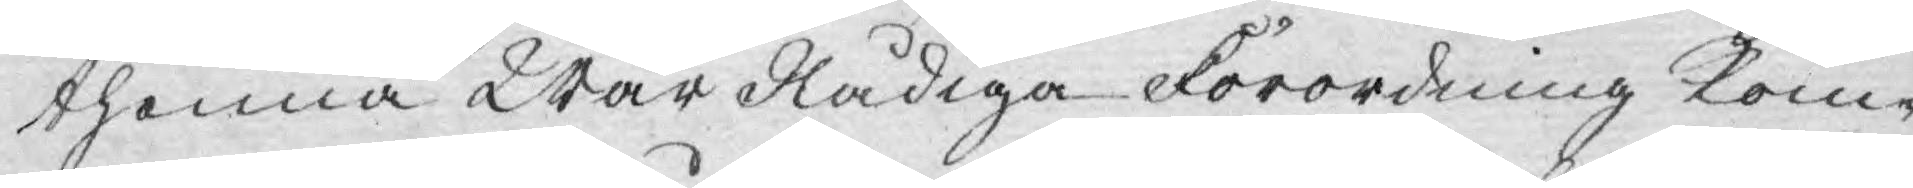thenna Wår Nådiga Förordning kom¬
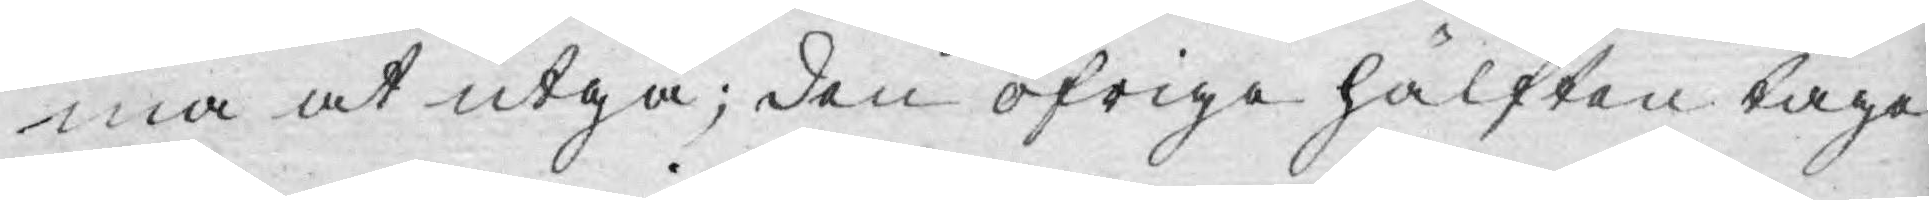ma at utgå; den öfrige hälften taga
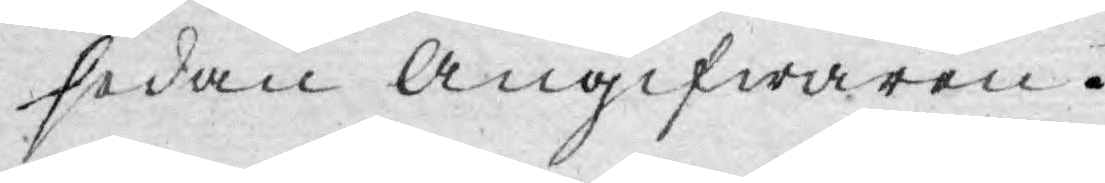sedan angifwaren.
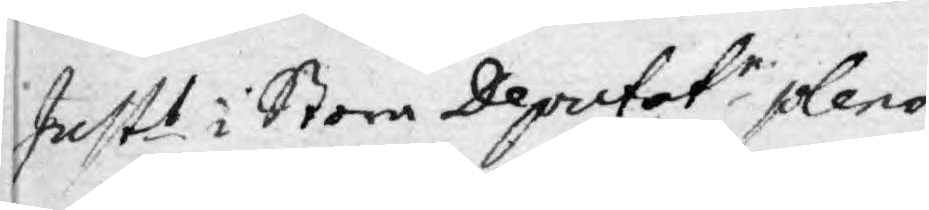Just.s i Stora Deputatr pleno
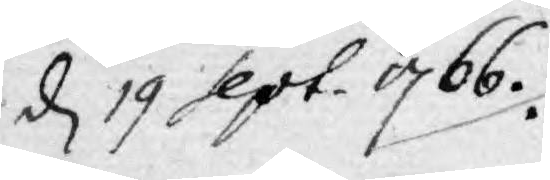d 19 sept. 1766.
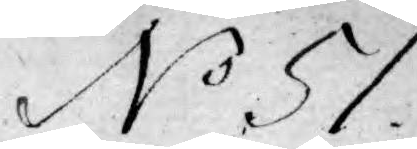No 51.
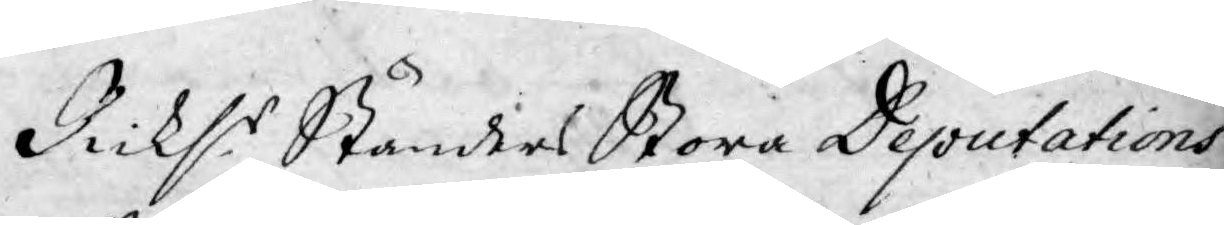Ricks:s Ständers Stora Deputations
